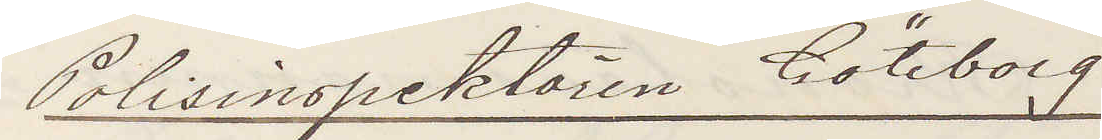Polisinspektören Göteborg
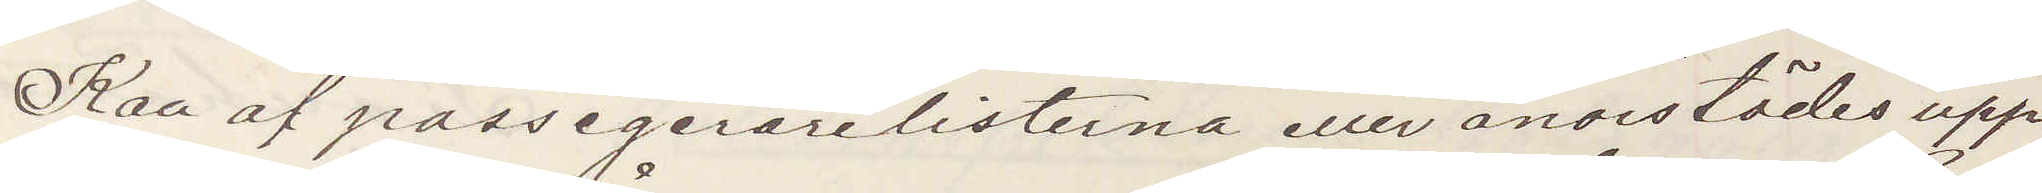Kan af passagerarelisterna eller annorstädes upp¬
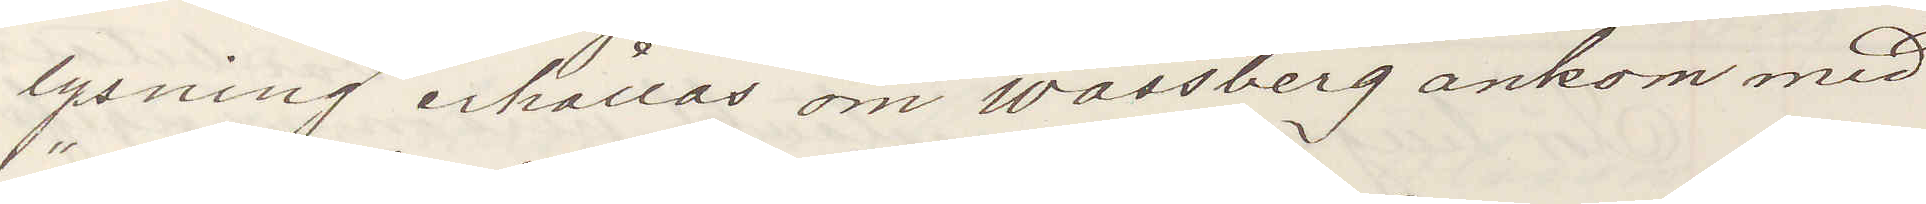lysning erhållas om Wassberg ankom med
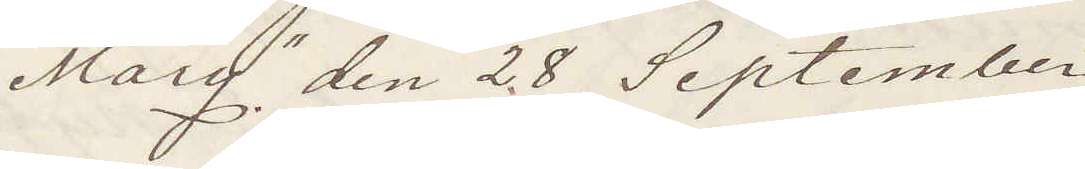"Mary" den 28 September
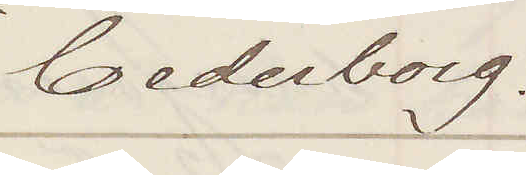Cederborg.
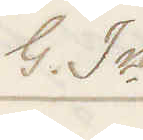G In
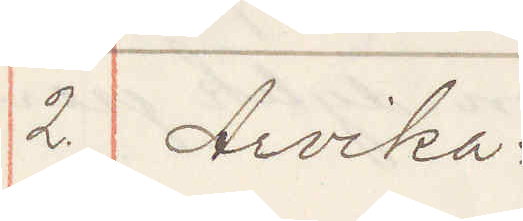2. Arvika:
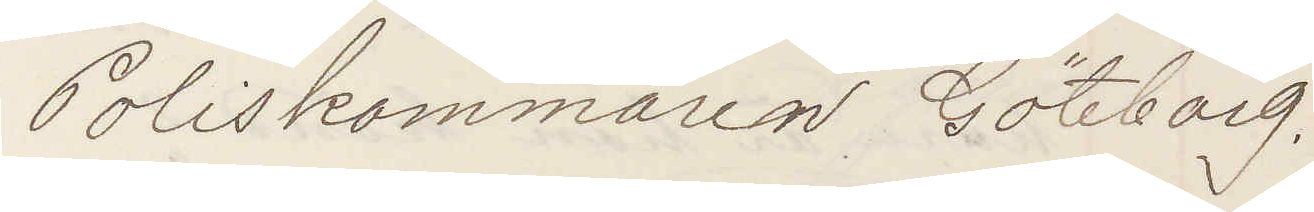Poliskammaren Göteborg.
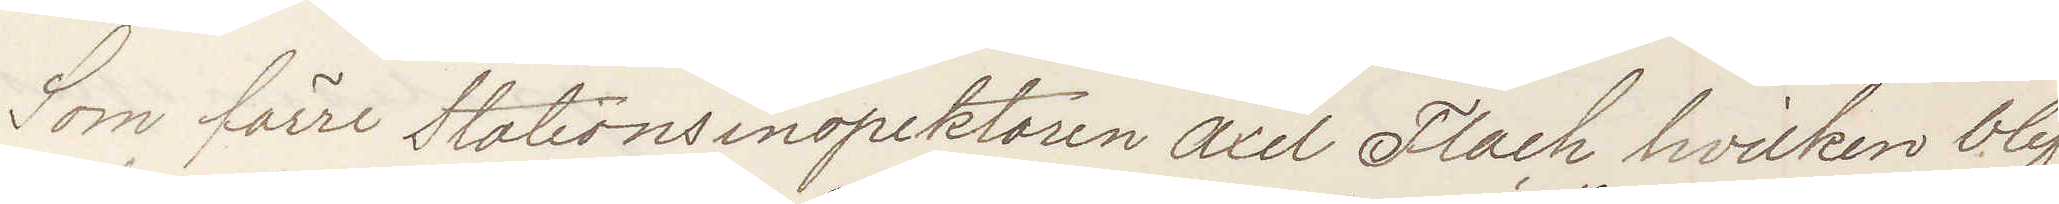Som förre Stationsinspektören Axel Flach hvilken blif¬
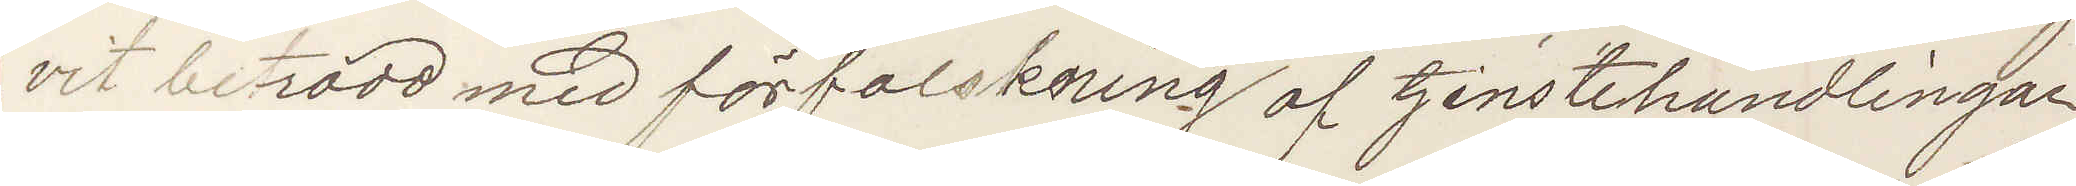vit betradd med förfalskning af tjenstehandlingar
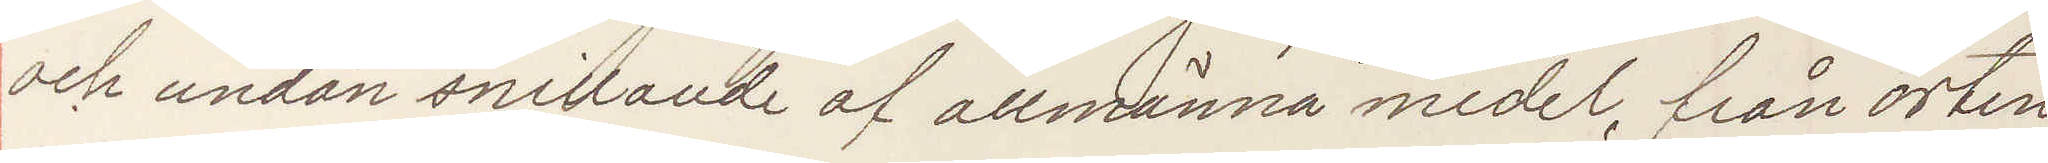och undan snillande af allmänna medel, från orten
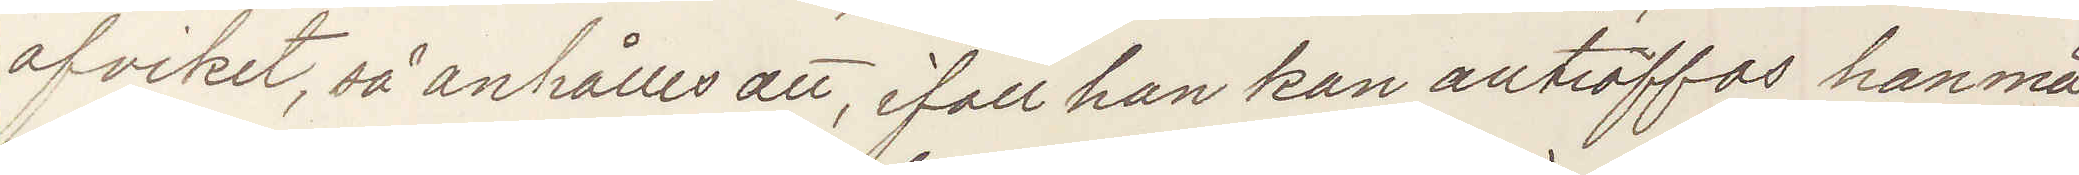afvikit, så anhålles att, ifall han kan anträffas han må
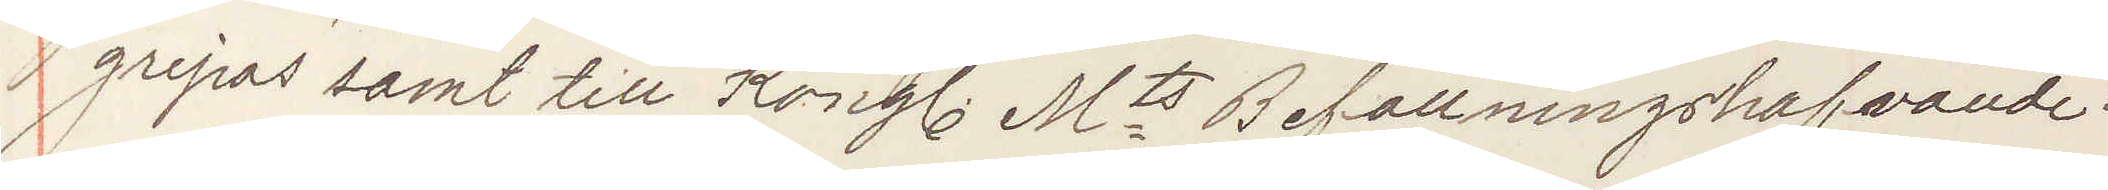gripas samt till Kongl Mts Befallningshafvande
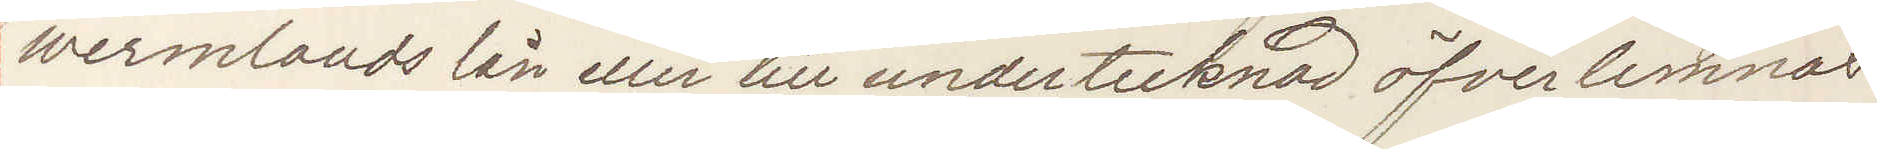Wermlands län eller till undertecknad öfverlemnas
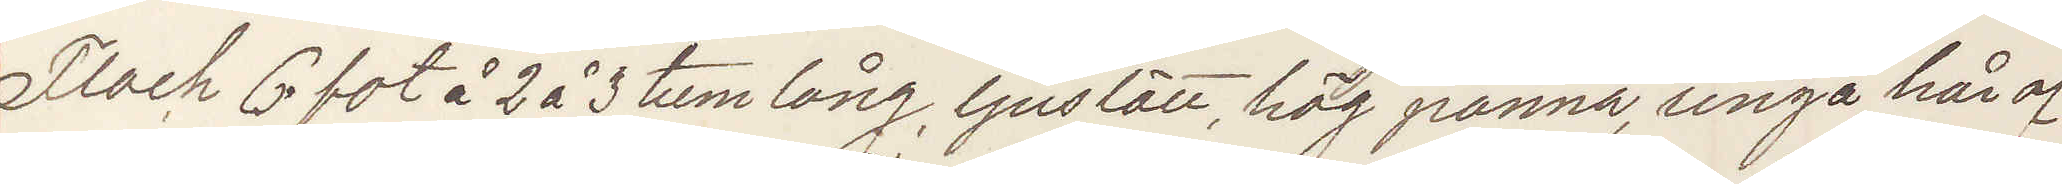Flach 6 fot å 2 å 3 tum lång, ljuslätt, hög panna, ringa hår af
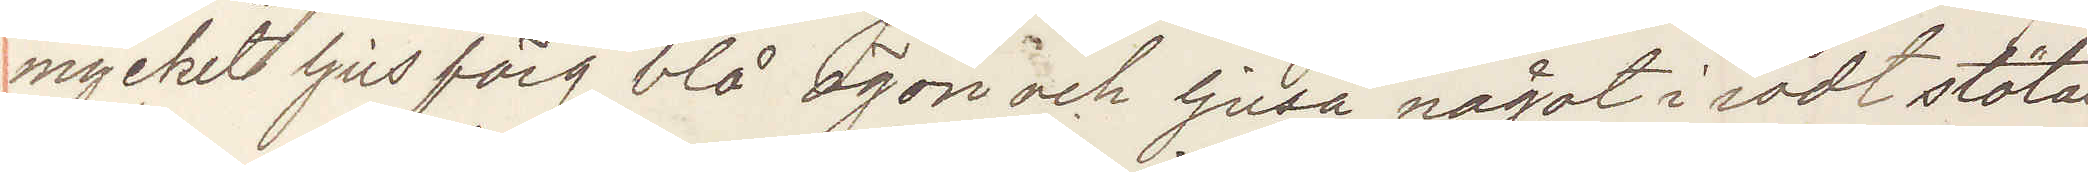mycket ljus färg, blå ögon och ljusa något i rödt stötan¬
